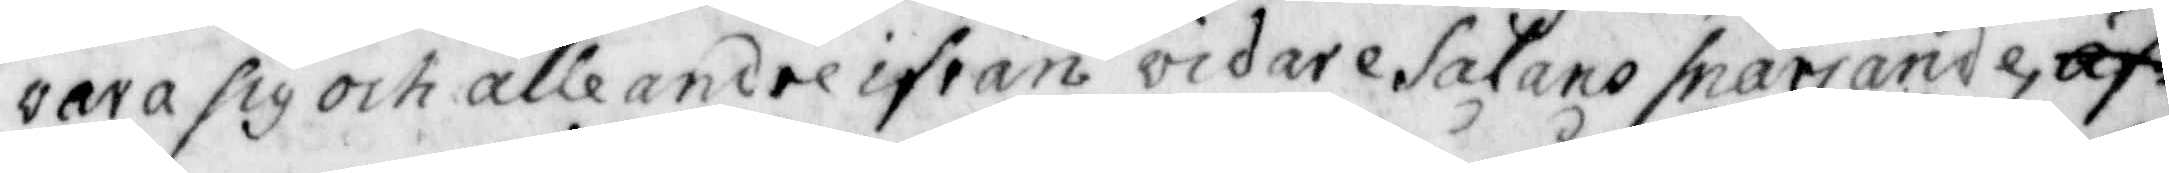vara sig och alle andre ifrån vidare Satans snärjande, äf
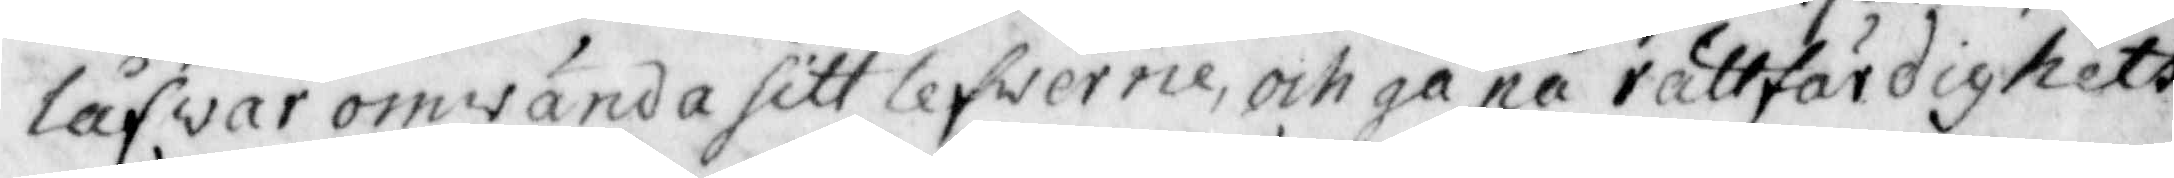låfvar omwända sitt lefwerne, och gå på rättfärdighets
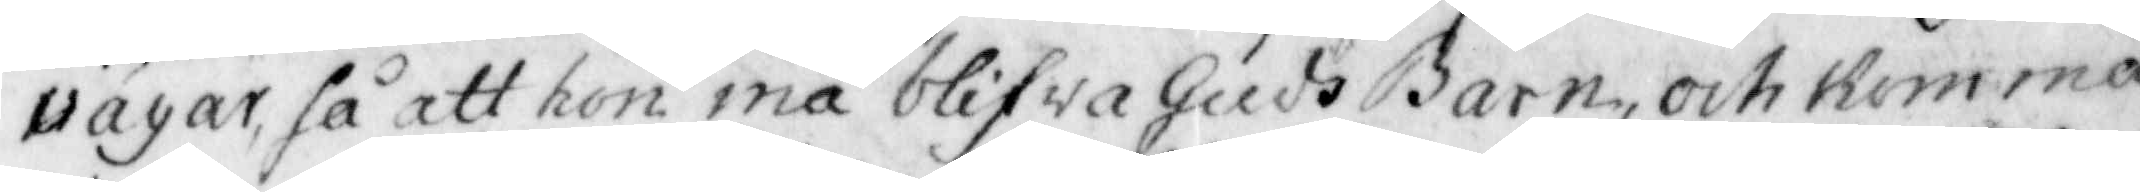vägar, så att hon må blifwa Guds Barn, och Komma
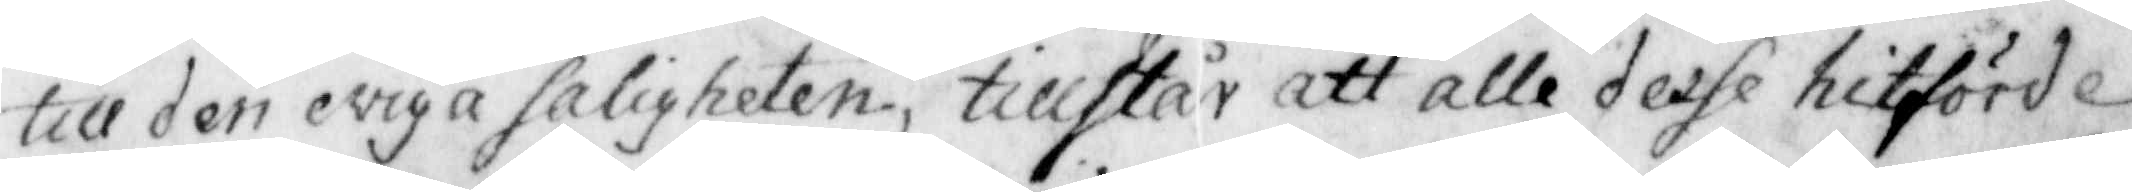till den eviga saligheten, tillstår att alle desse hitförde
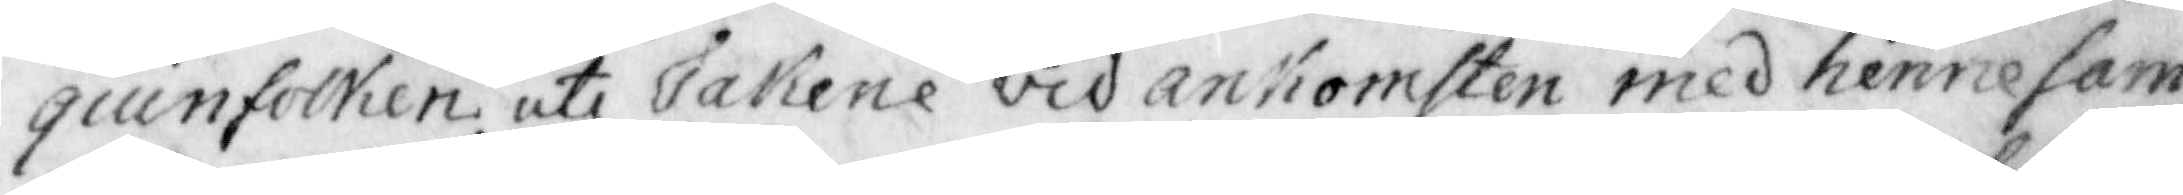quinfolken uti sakene vidh ankomsten med henne sam¬
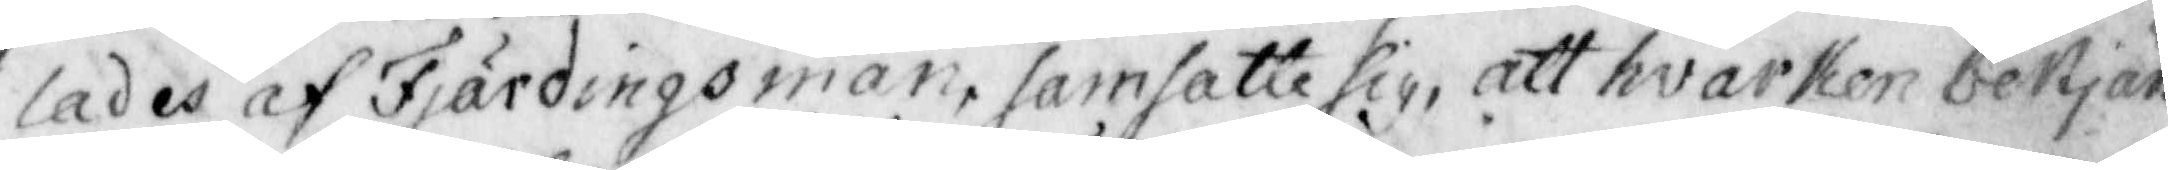lades af Fjärdingsman, som satte sig, att hvarken bekjän¬
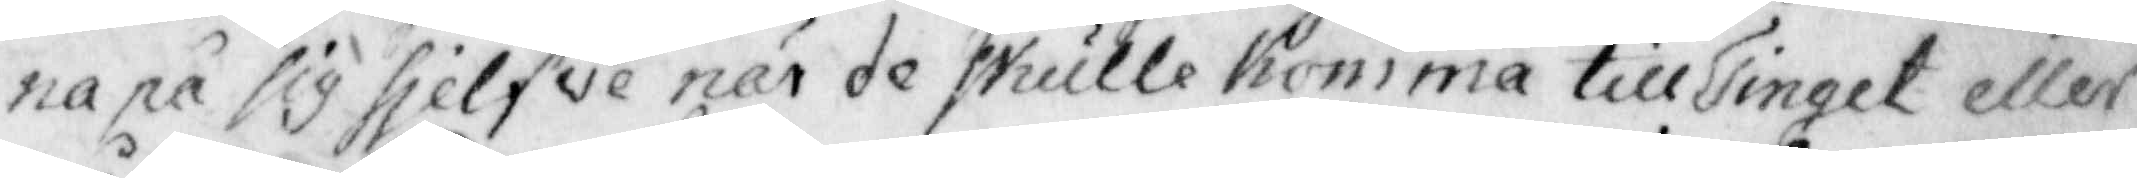na på sig sjelfve när de skulle Komma till Tinget eller
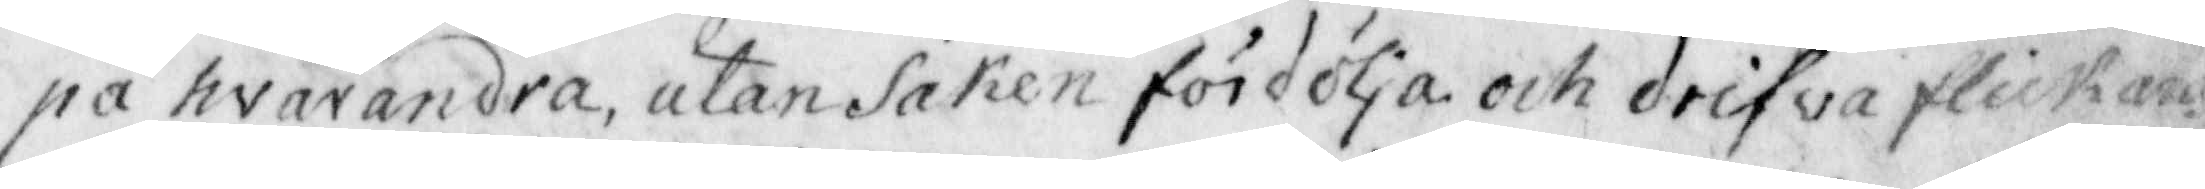pa hwarandra, utan Saken fördölja och drifva flickans
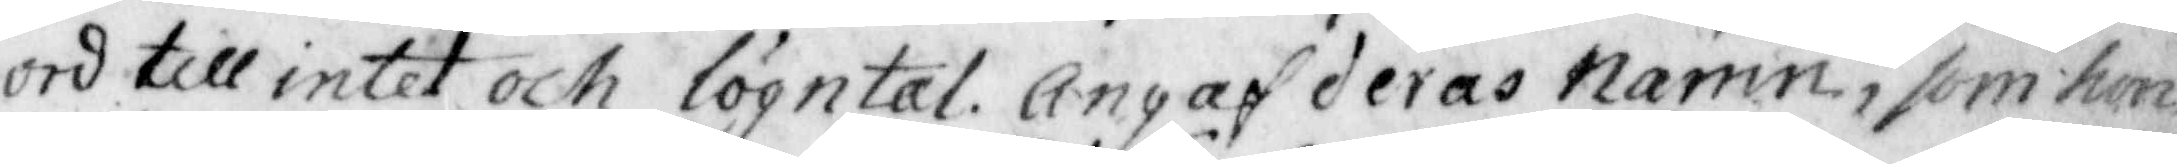ord till intet och lögntal. Angaf deras namn, som hon
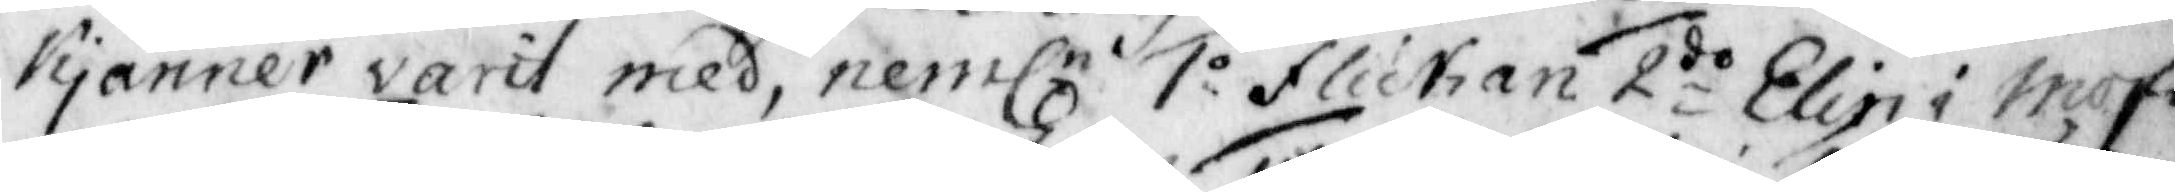Kjänner varit med, nemln 1o Flichan 2:do Elin i mofi¬
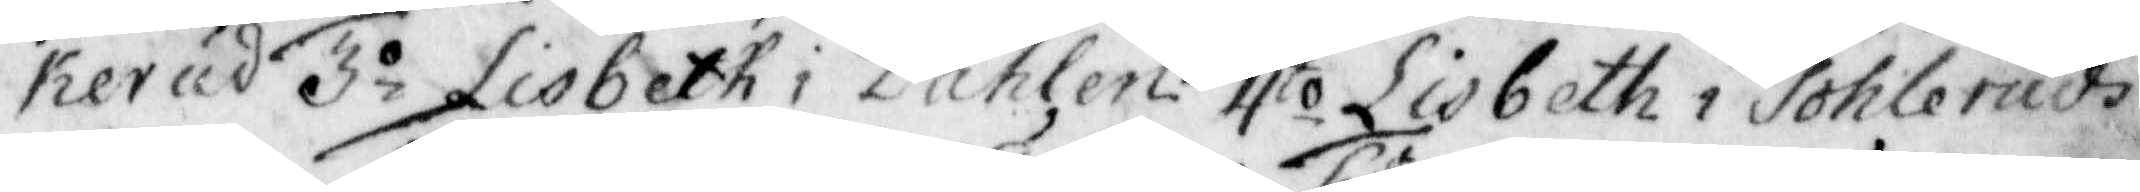kerud 3.o Lisbeth i Dahlen 4to Lisbeth i Sohleruds¬
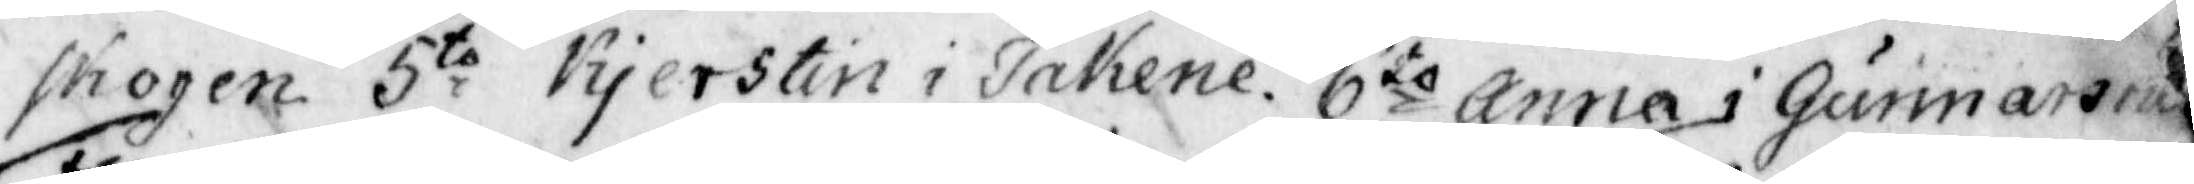skogen 5:to Kjerstin i Takene. 6to Anna i Gunnarsrud 
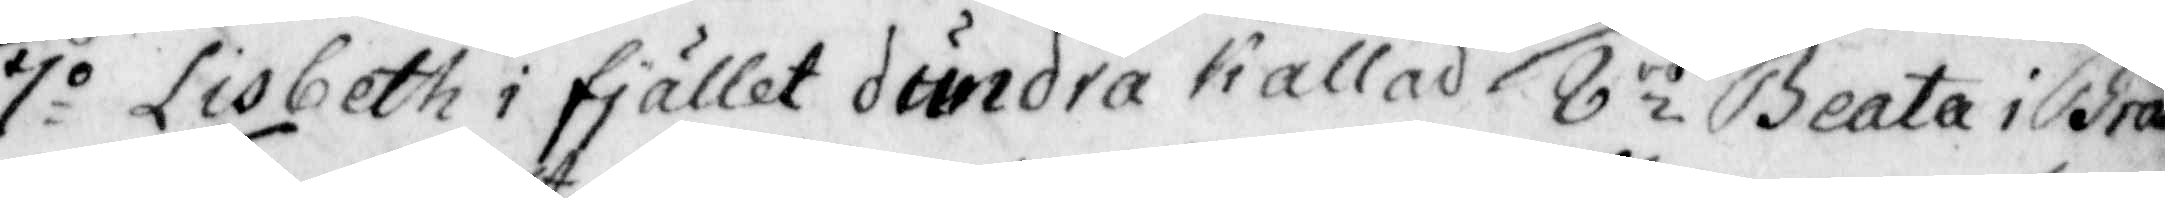7o Lisbeth i fjället dundra kallad 8io Beata i Brå¬
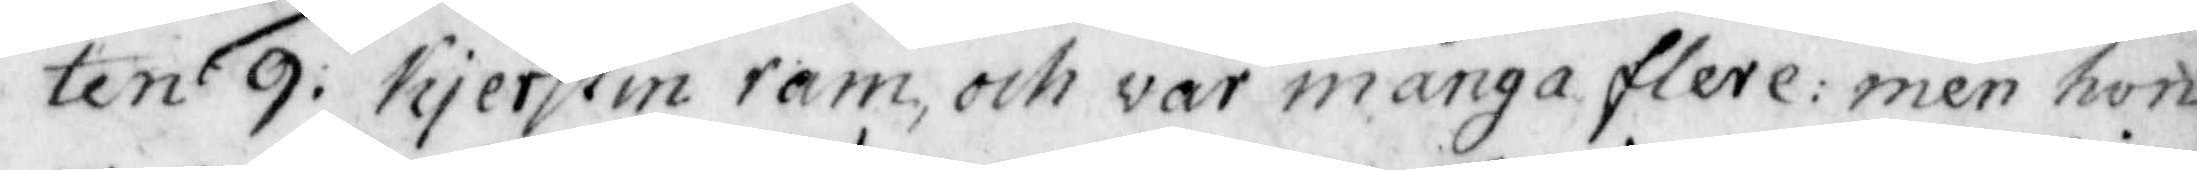ten 9: Kjerstin ram, och var många flere: men hon 
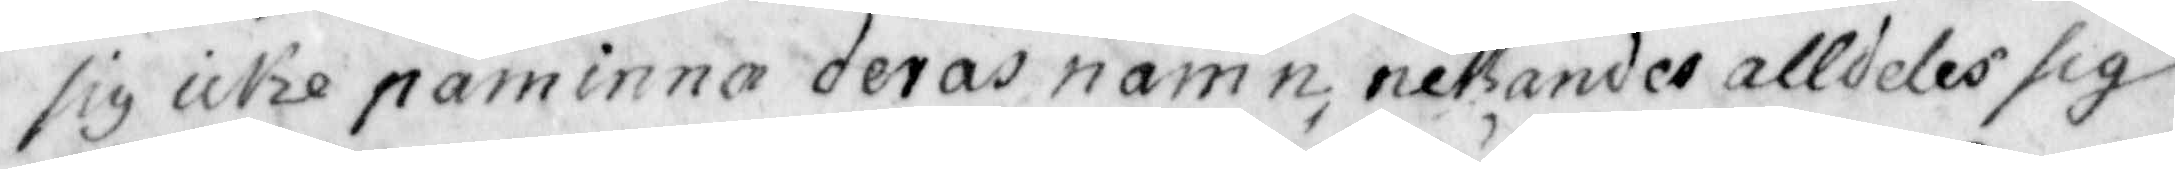sig icke påminna deras namn, nekandes alldeles sig
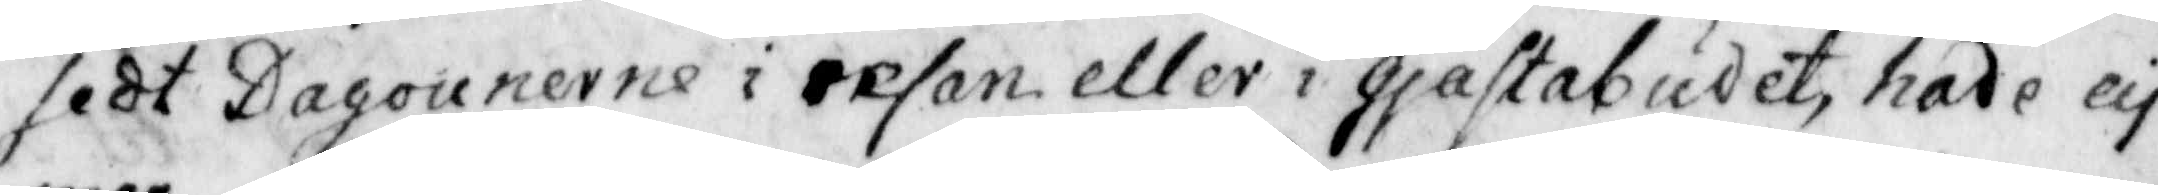sedt Dagouenerne i resan eller i gjästabudet hade ey
